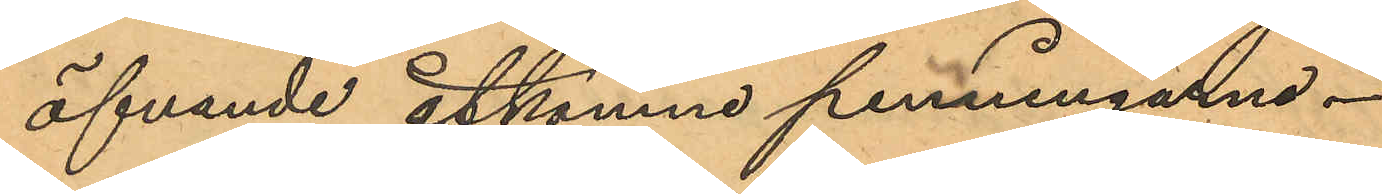öfvande åtkomne penningarne.
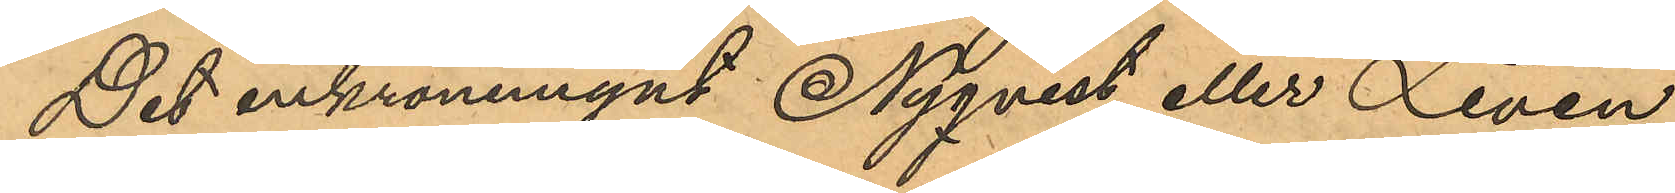Det enkronemynt Nyqvist eller Levin
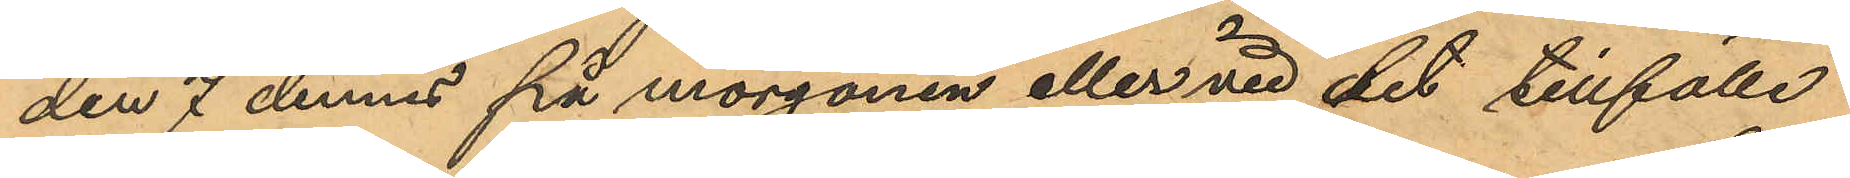den 7 dennes på morgonen eller vid det tillfälle
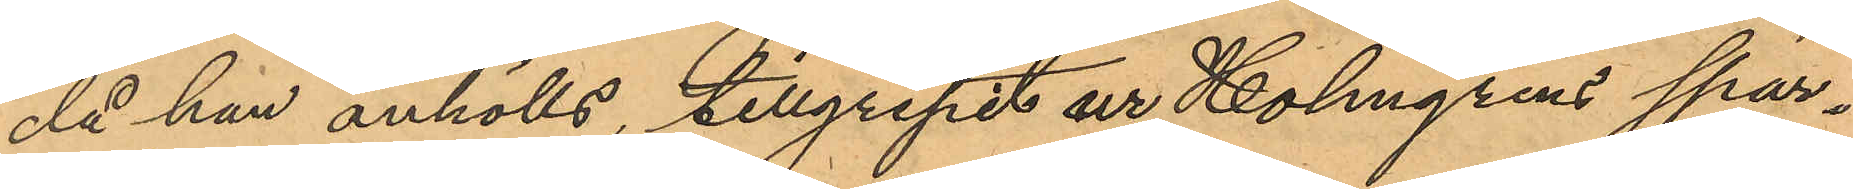då han anhölls, tillgripit ur Holmgrens spar¬
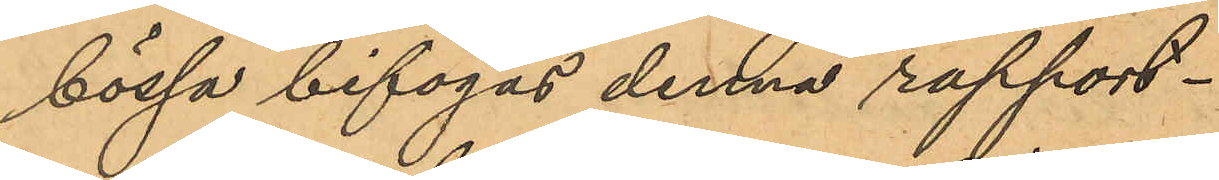bössa bifogas denna rapport.
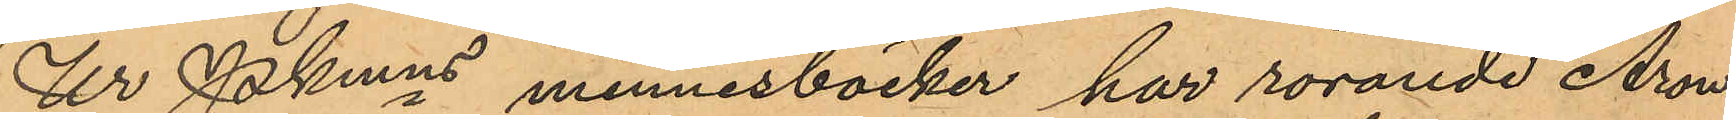Ur Pkmns minnesböcker har rörande Aron
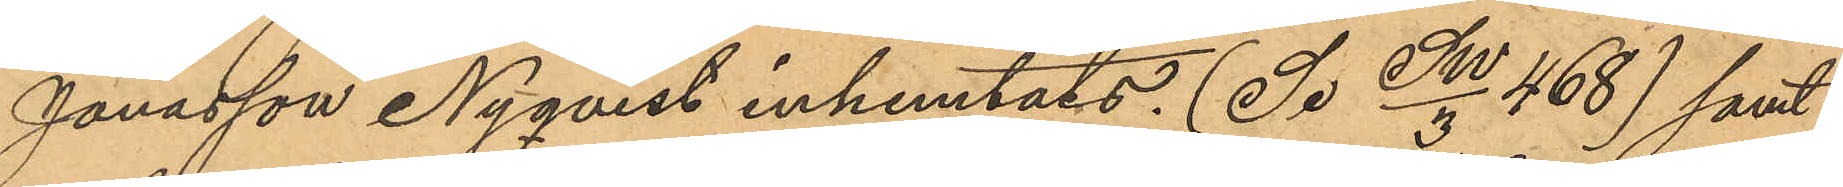Janasson Nyqvist inhemtats: (Se SW/3 468) samt
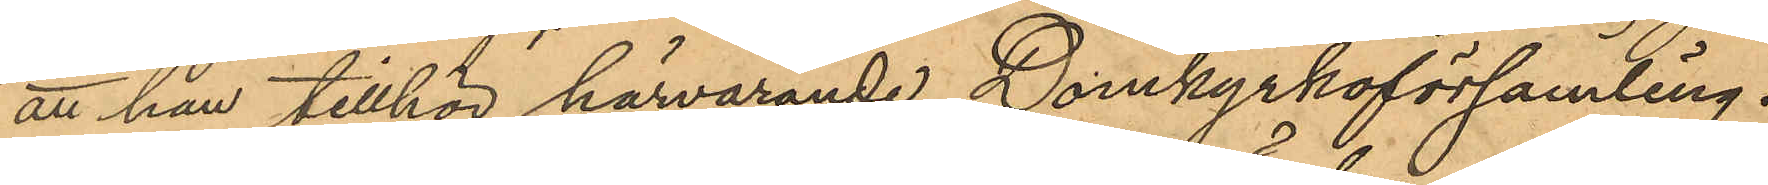att han tillhör härvarande Domkyrkoförsamling.
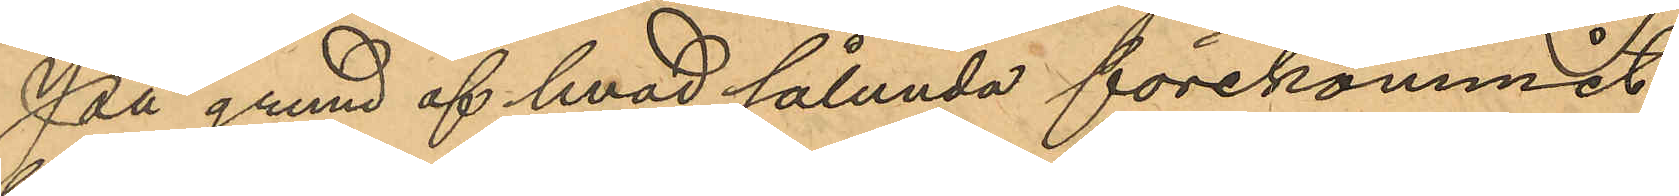På grund af hvad sålunda förekommit
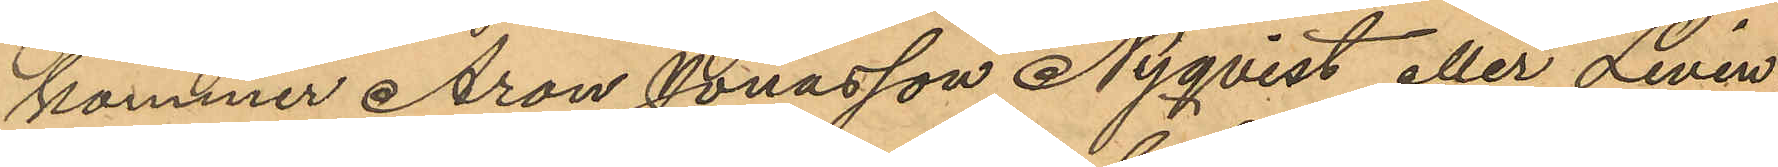kommer Aron Jonasson Nyqvist eller Levin
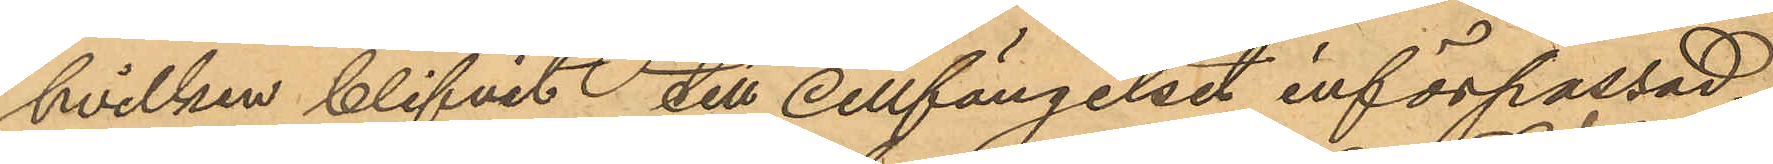hvilken blifvit till Cellfängelset införpassad
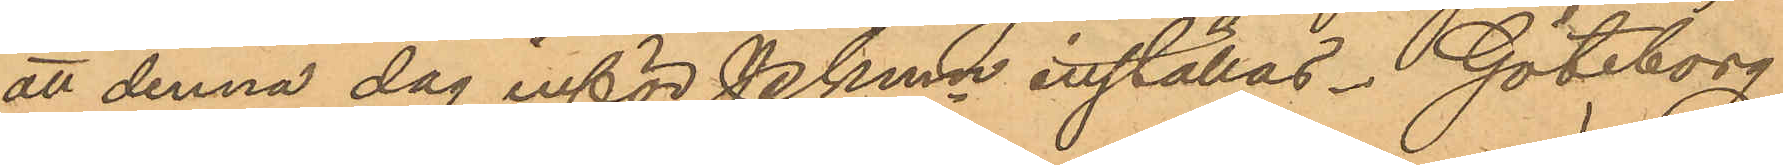att denna dag inför Pkmn inställas. Göteborg
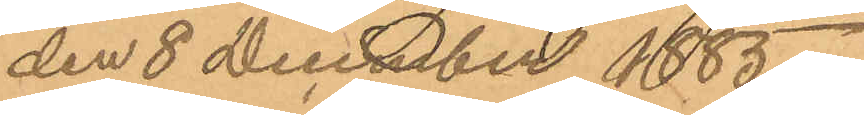den 8 December 1885.
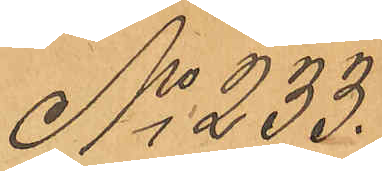No 233.
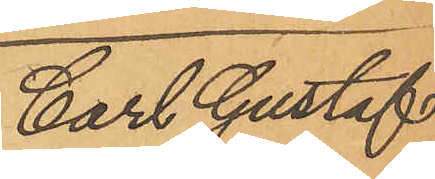Carl Gustaf
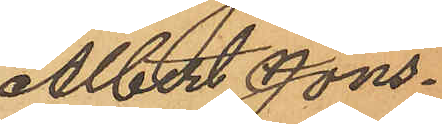Albert Jons¬
